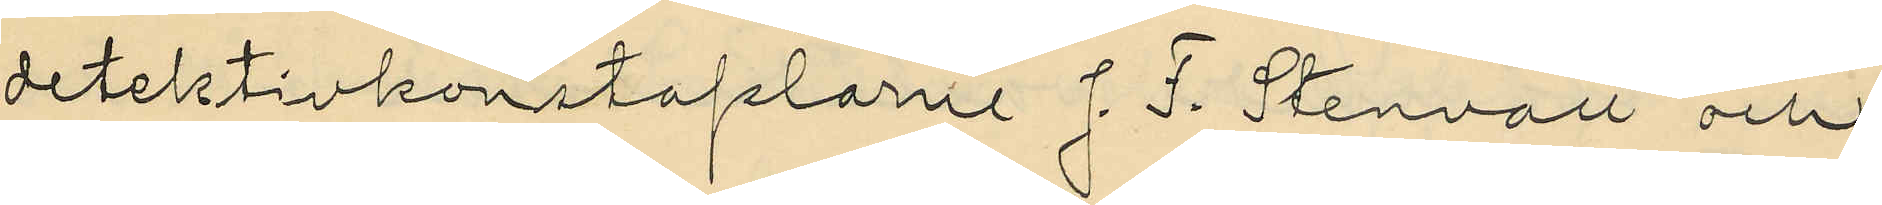detektivkonstaplarne J. F. Stenvall och
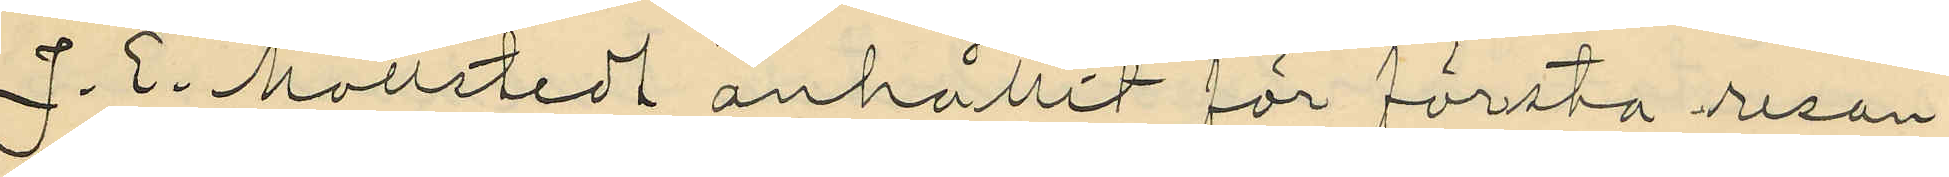J. E. Mollstedt anhållit för första resan
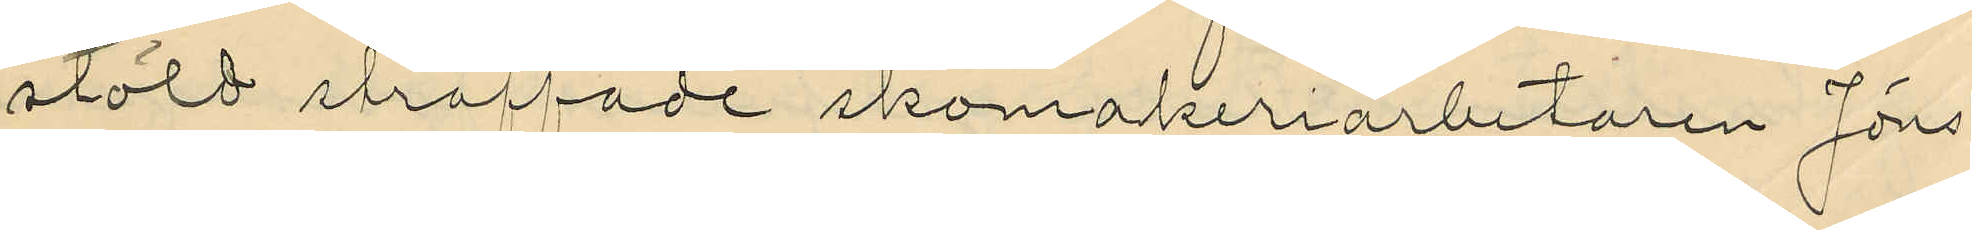stöld straffade skomakeriarbetaren Jöns
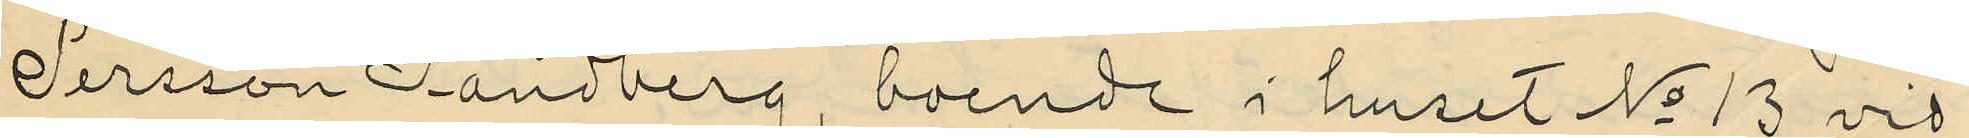Persson Sandberg, boende i huset No 13 vid
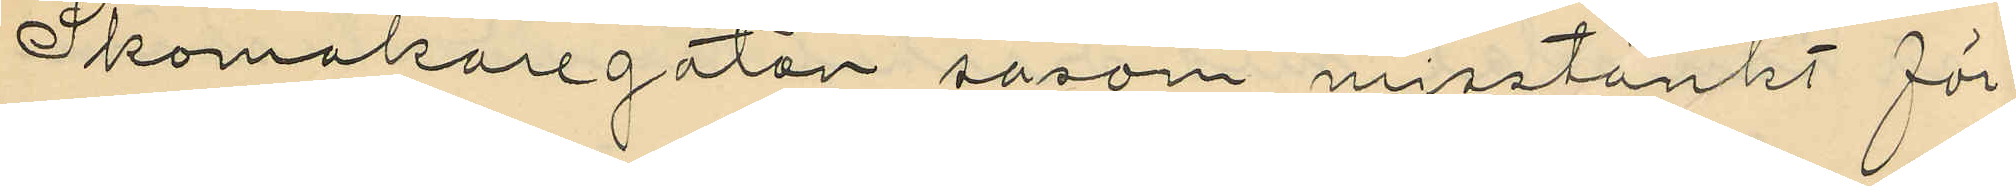Skomakaregatan såsom misstänkt för
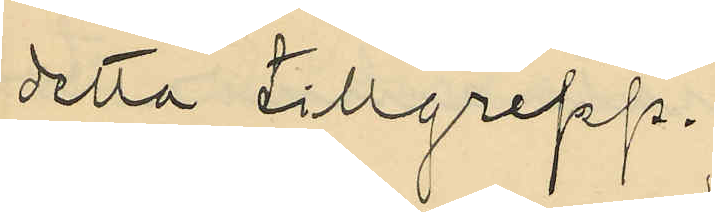detta tillgrepp.
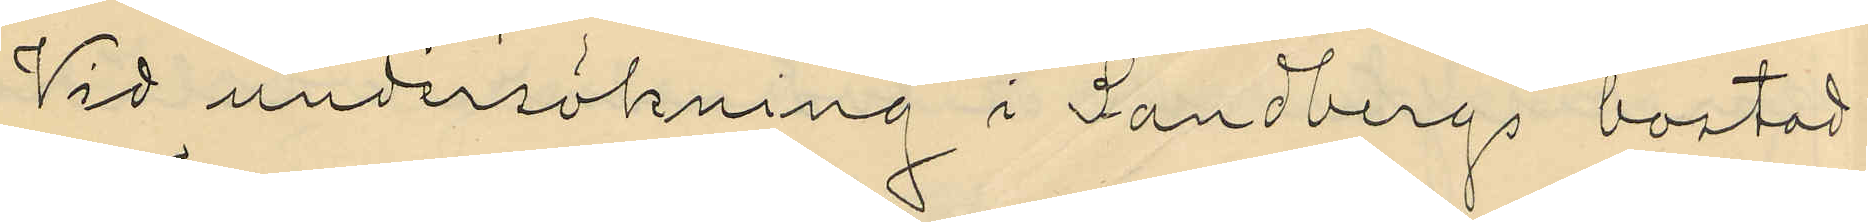Vid undersökning i Sandbergs bostad
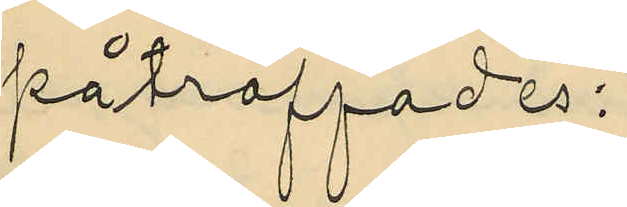påträffades:
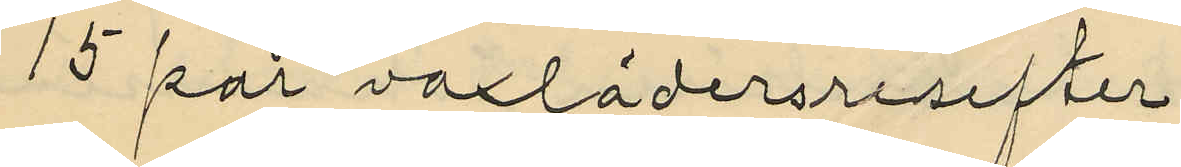15 par vaxlädersresefter
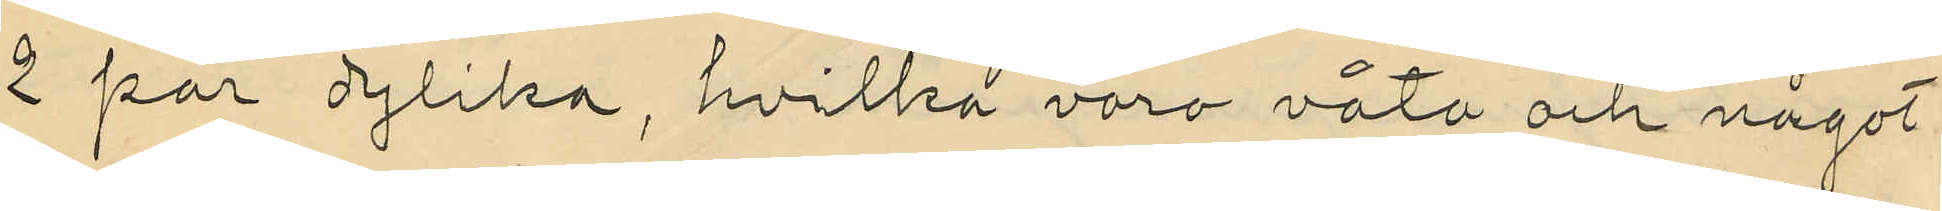2 par dylika, hvilka varo våta och något
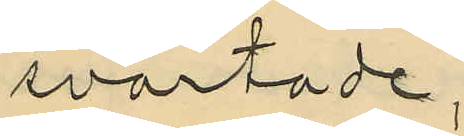svartade;
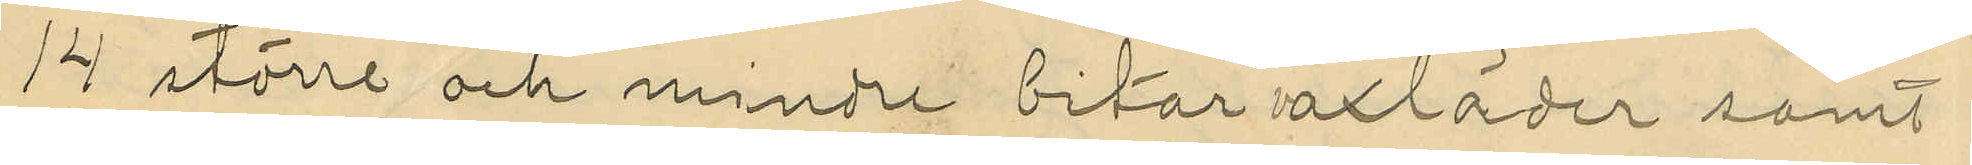14 större och mindre bitar vaxläder samt
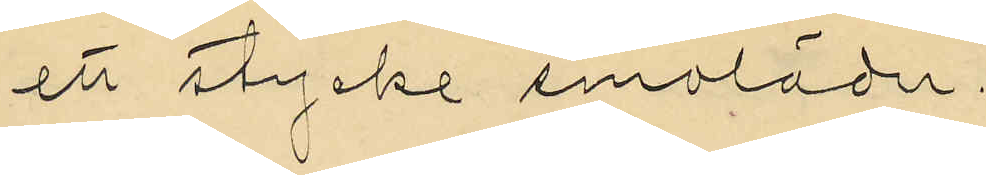ett stycke smoläder.
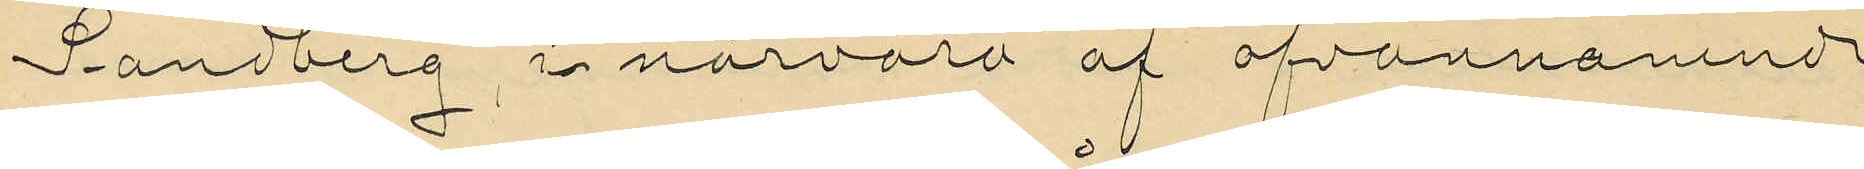Sandberg, i närvaro af ofvannämnda
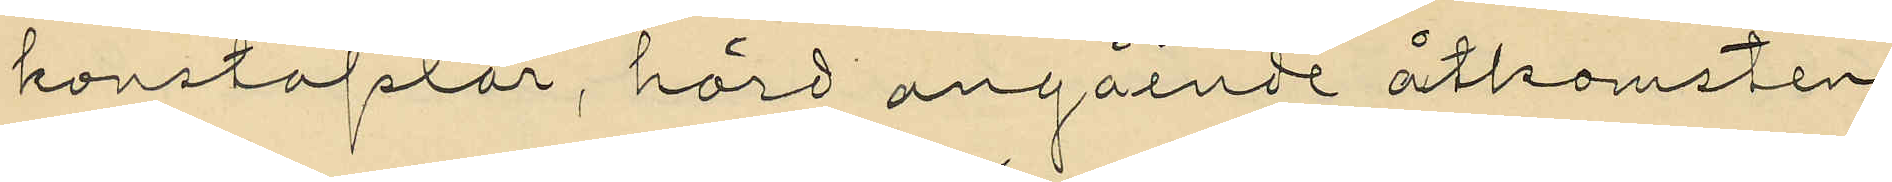konstaplar, hörd angående åtkomsten
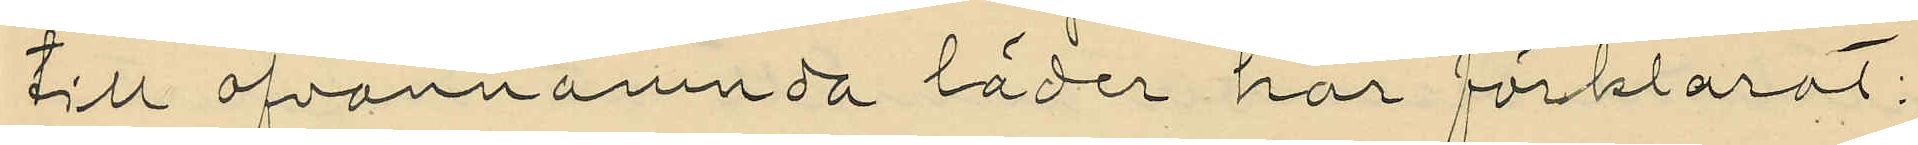till ofvannämnda läder har förklarat:
